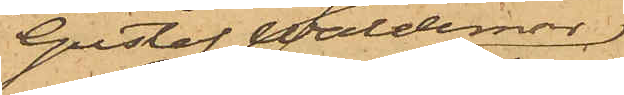Gustaf Waldemar
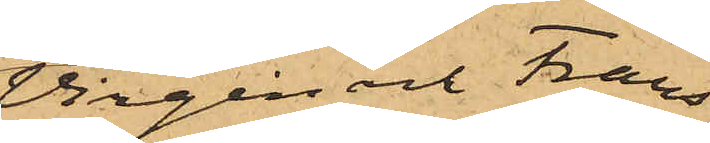Virgin och Frans
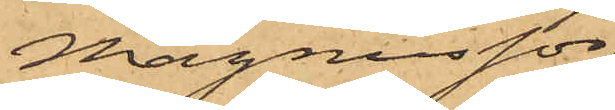Magnusson
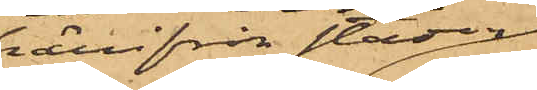härifrån staden,
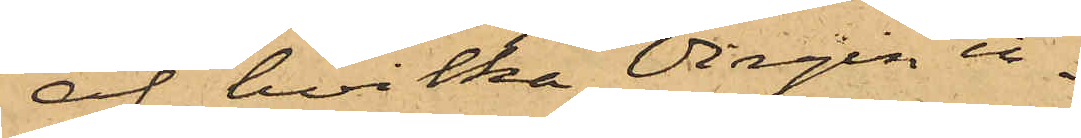af hvilka Virgin in¬
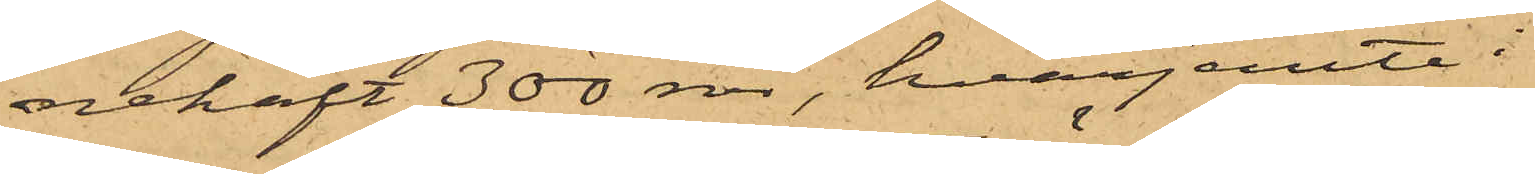nehaft 300 rdr, hvarjemte i
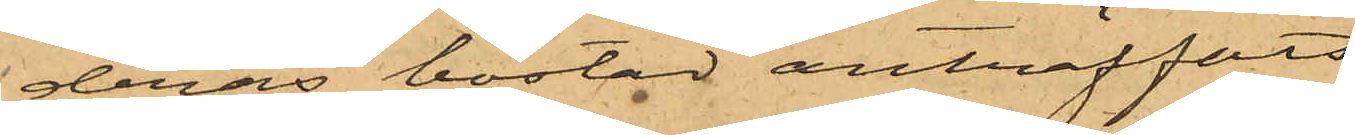deras bostad anträffats
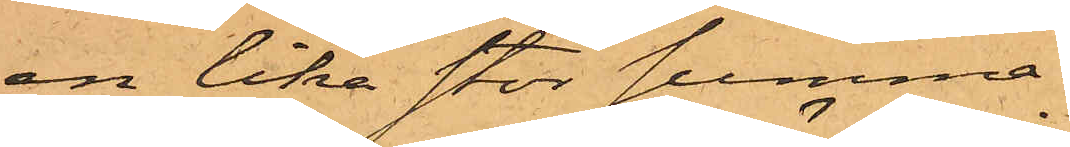en lika stor summa;
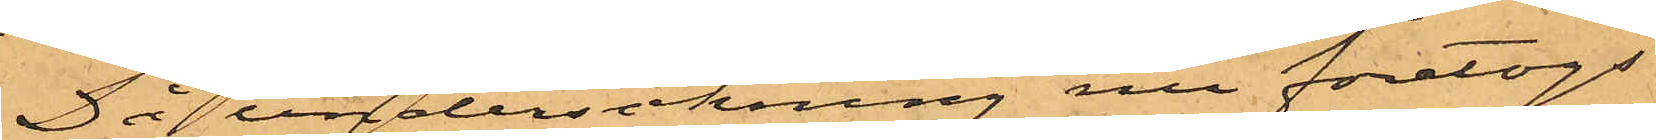Då undersökning nu företogs
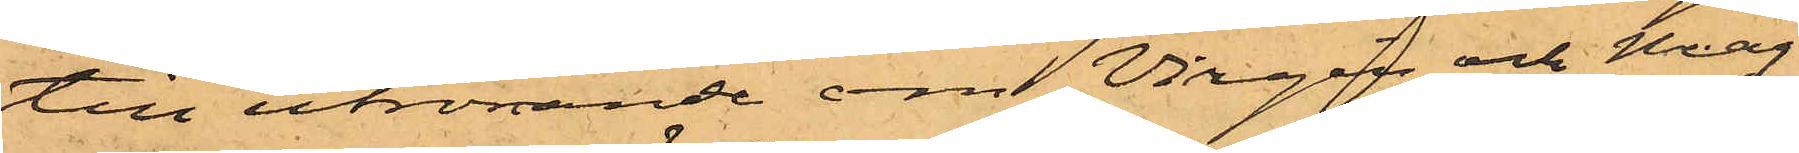till utrönande om Wirgin och Mag¬
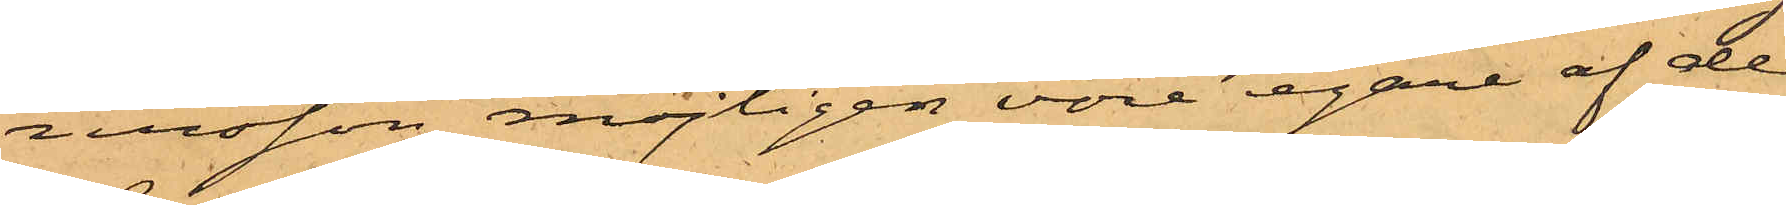nusson möjligen vore egare af de
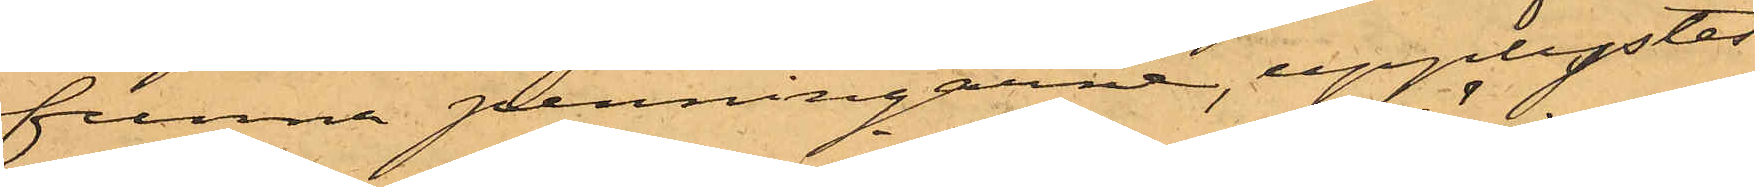funna penningarne, upplystes
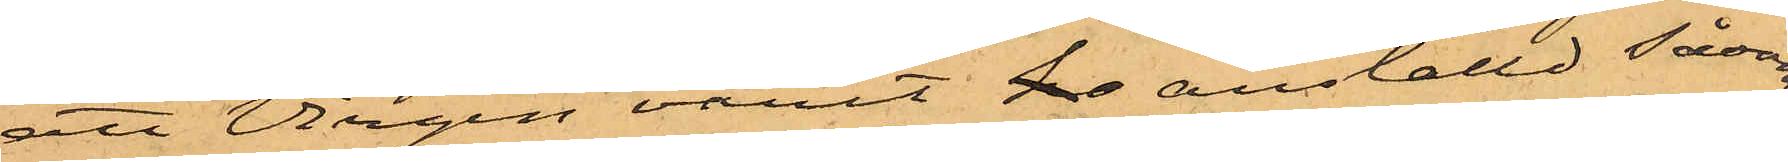att Virgin varit ho anställd såsom
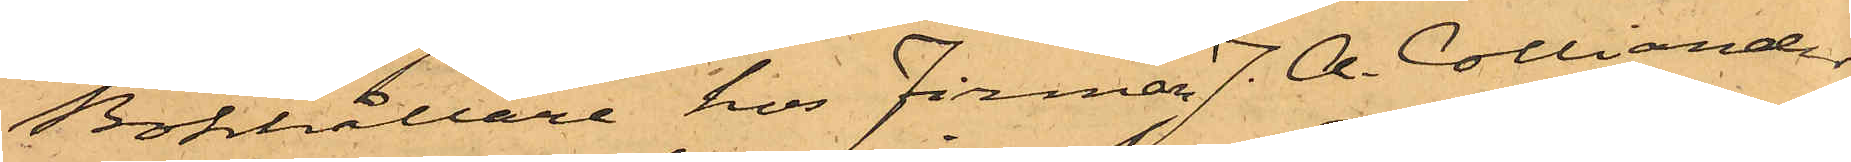Bokhållare hos Firman J. A. Colliander
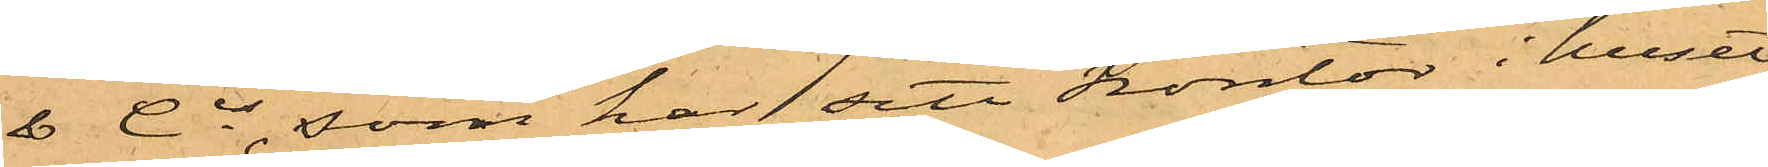& Cis, som har sitt kontor i huset
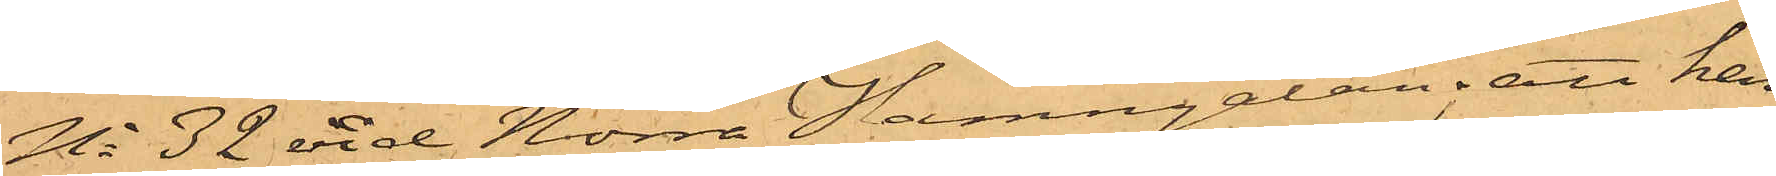No 32 vid Norra Hamngatan; att han
